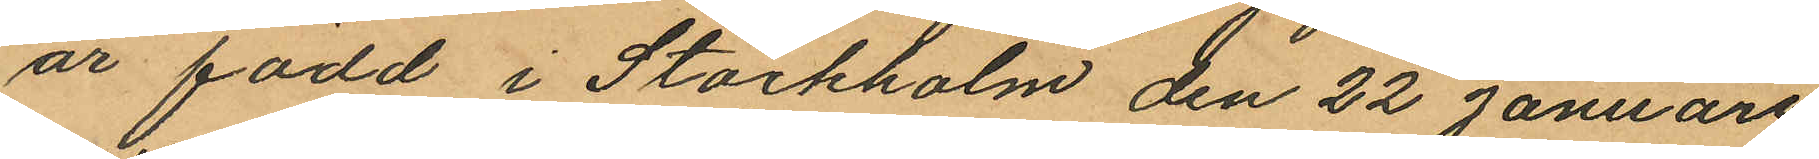är född i Stockholm den 22 Januari
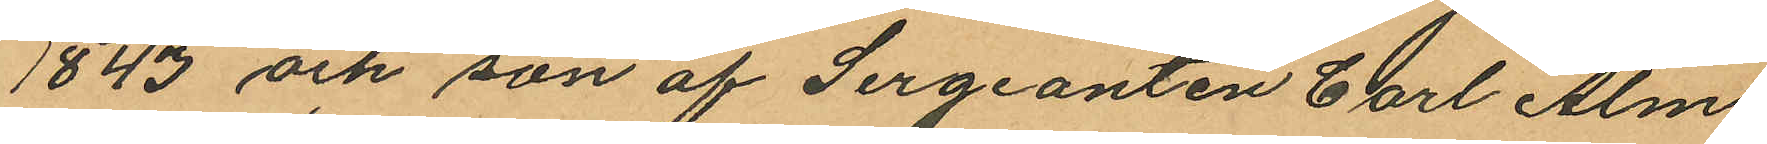1843 och son af Sergeanten Carl Alm
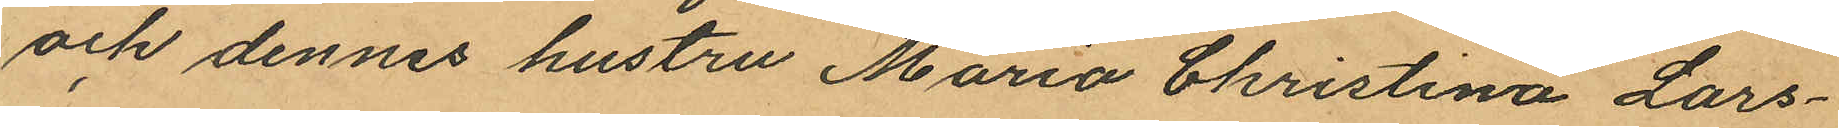och dennes hustru Maria Christina Lars¬
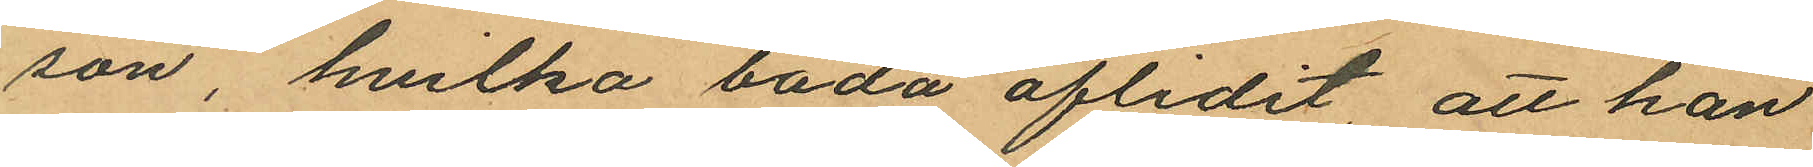son, hvilka båda aflidit, att han
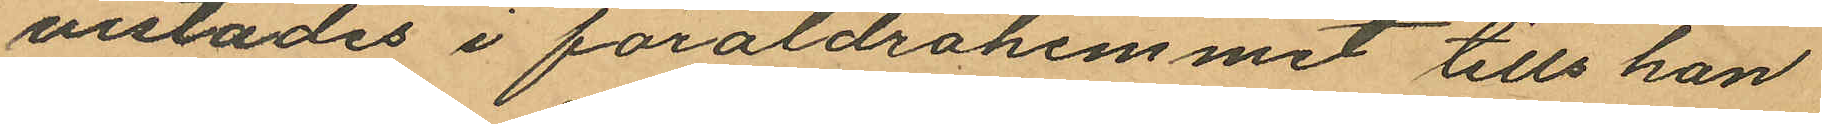vistades i föräldrahemmet tills han
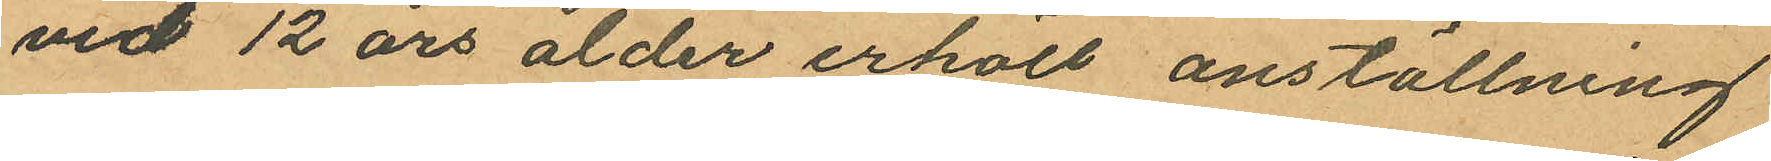vid 12 års ålder erhöll anställning
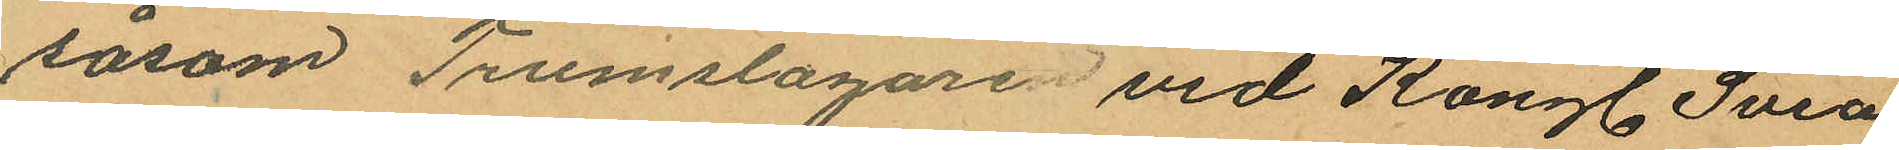såsom Trumslagare vid Kongl. Svea
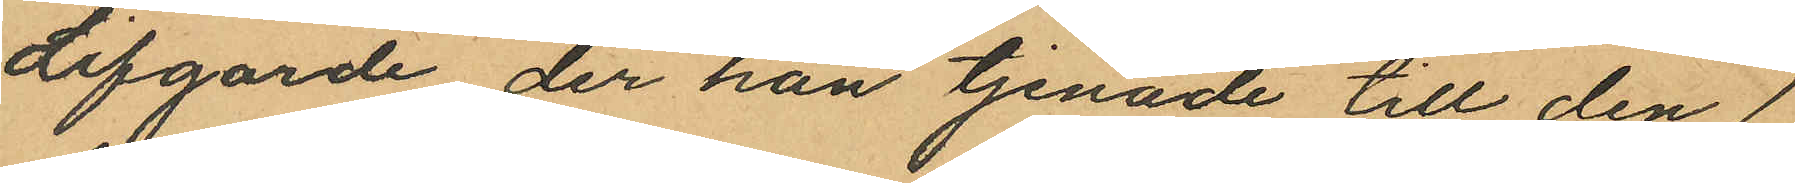Lifgarde der han tjenade till den 1
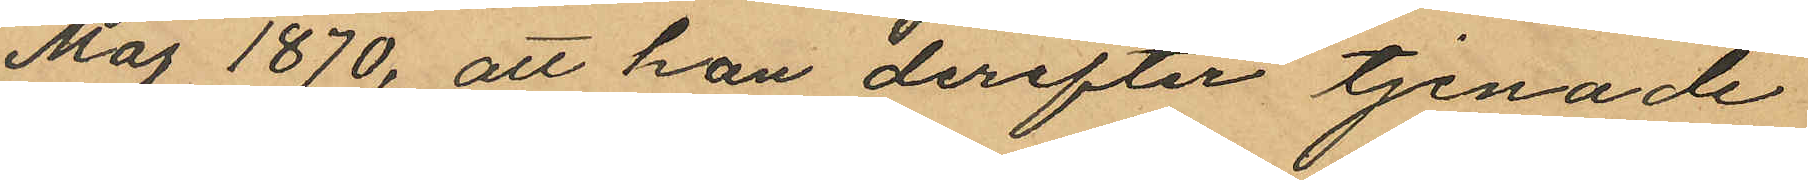Maj 1870, att han derefter tjenade
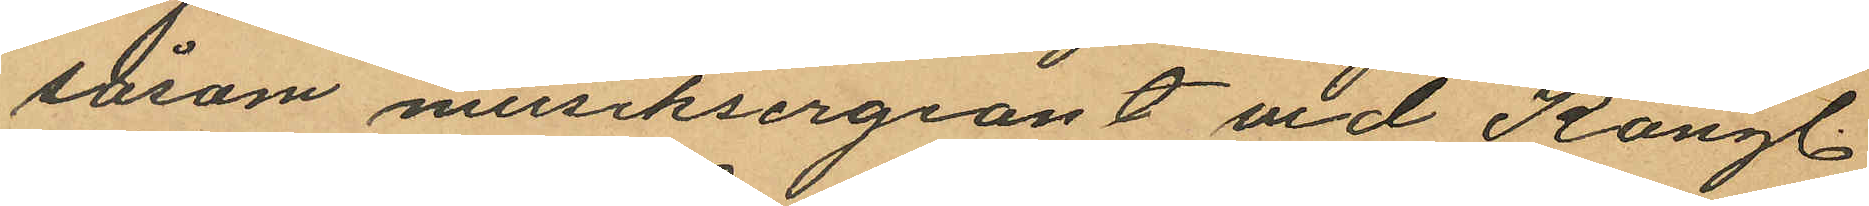såsom musiksergeant vid Kongl.
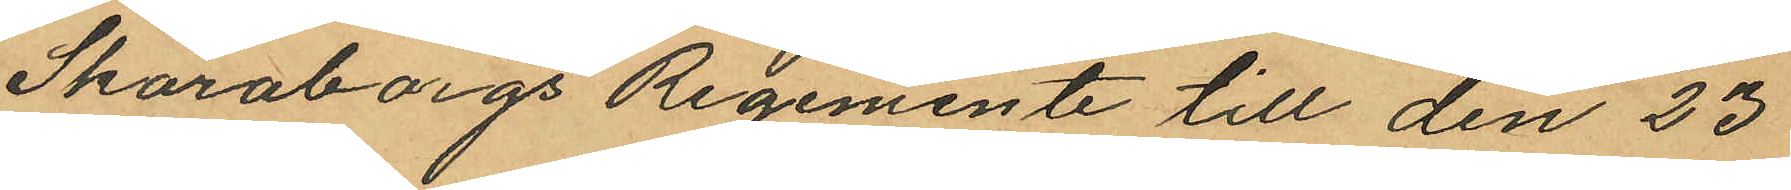Skaraborgs Regemente till den 23
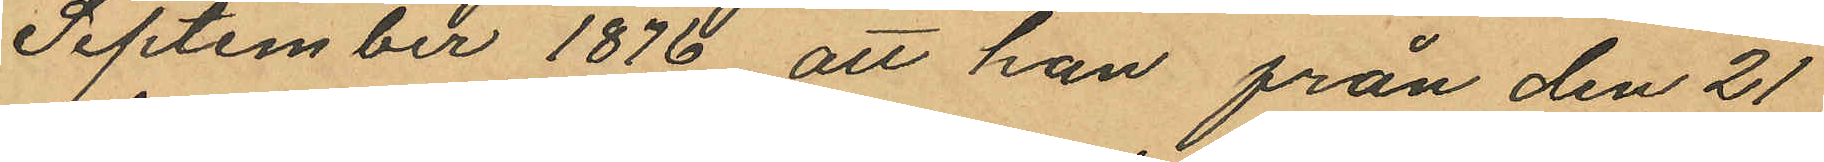September 1876 att han från den 21
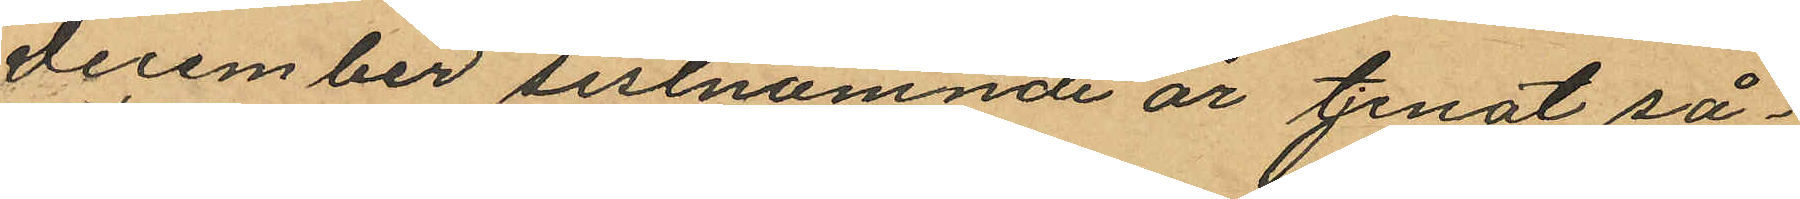December sistnämnde år tjenat så¬
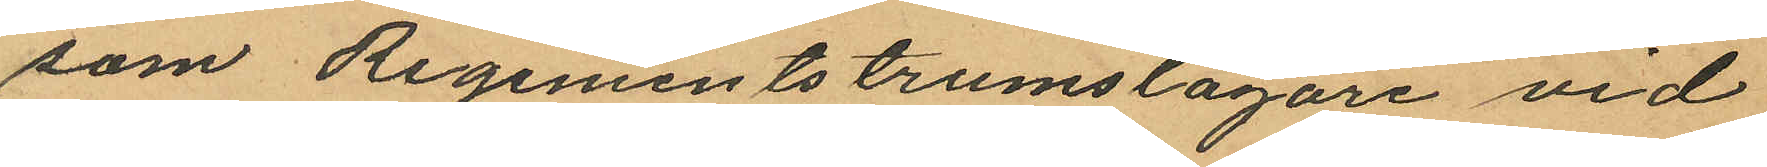som Regementstrumslagare vid
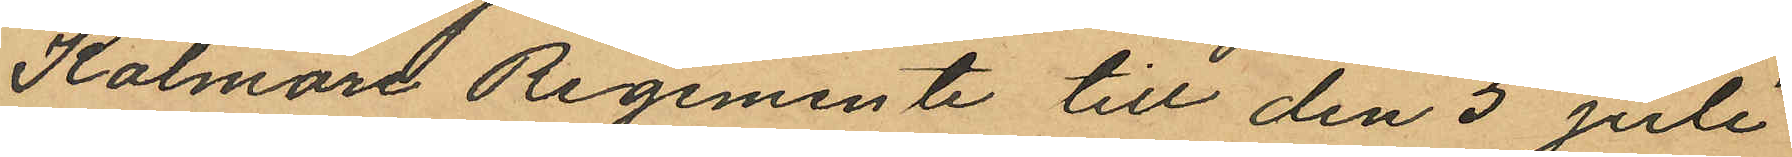Kalmare Regemente till den 5 Juli
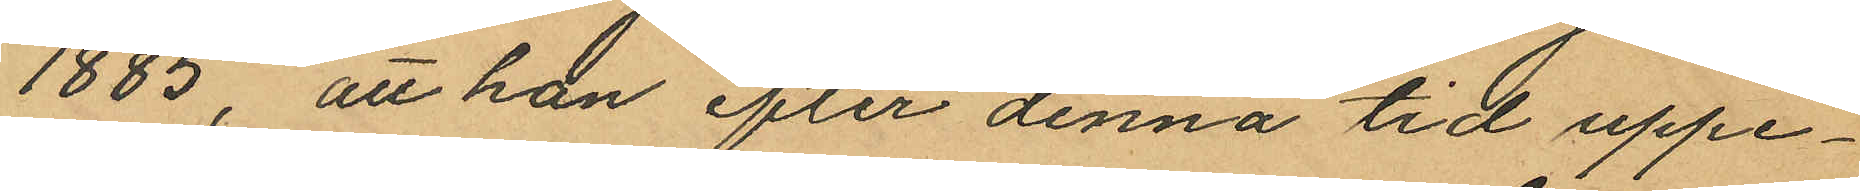1885, att han efter denna tid uppe¬
